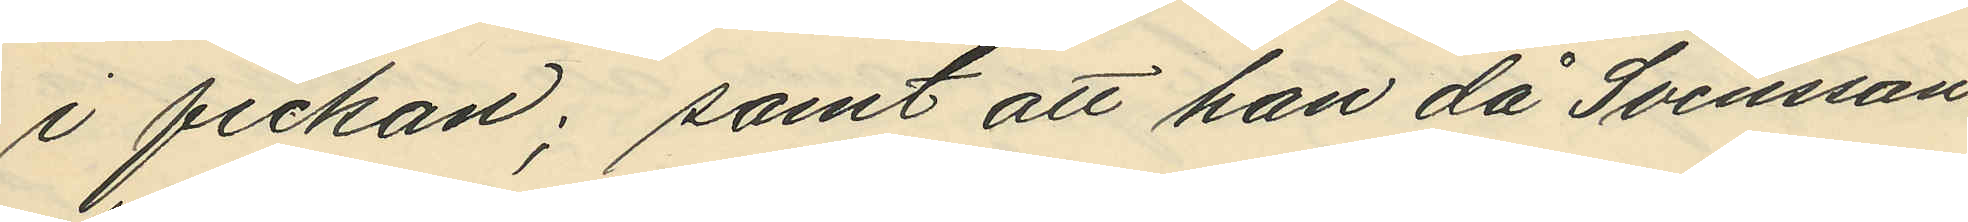i fickan; samt att han då Svensson
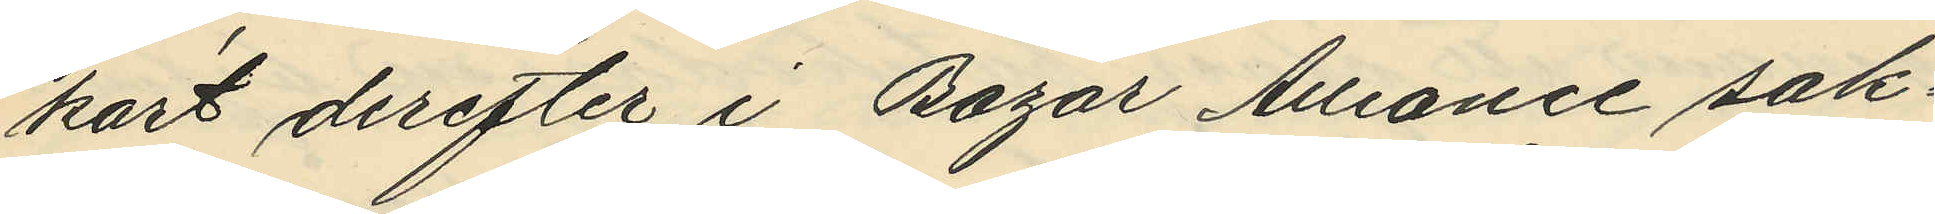kort derefter i Bazar Alliance sak¬
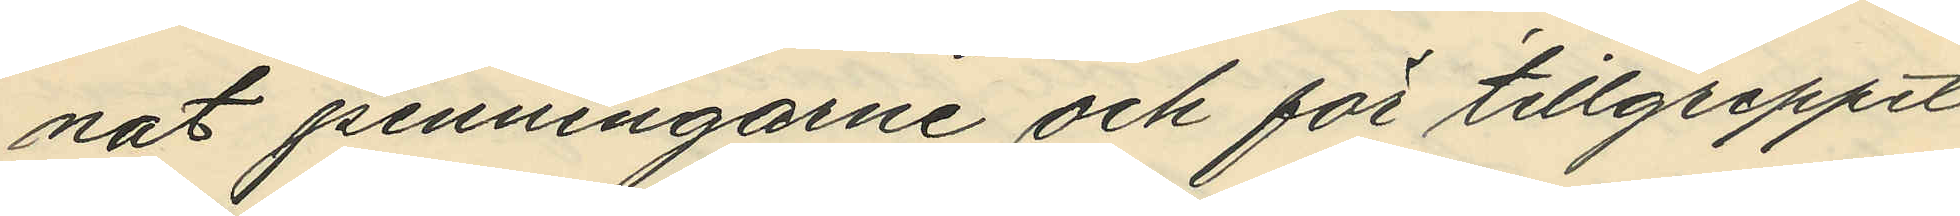nat penningarne och för tillgreppet
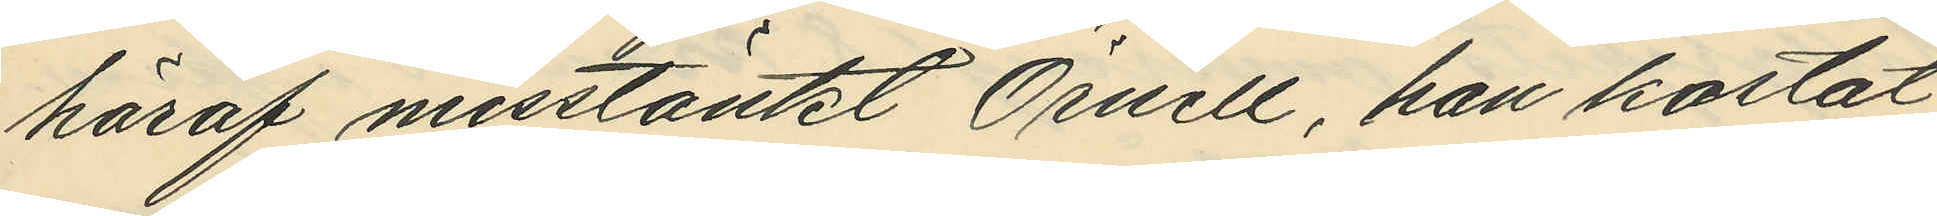häraf misstänkt Örnell, han kastat
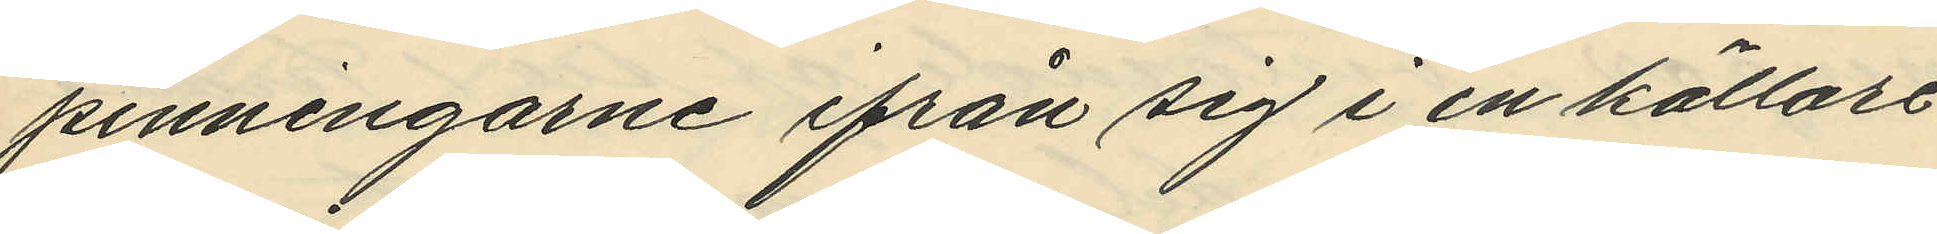penningarne ifrån sig i en källare¬
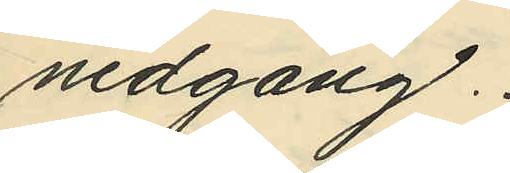nedgång.
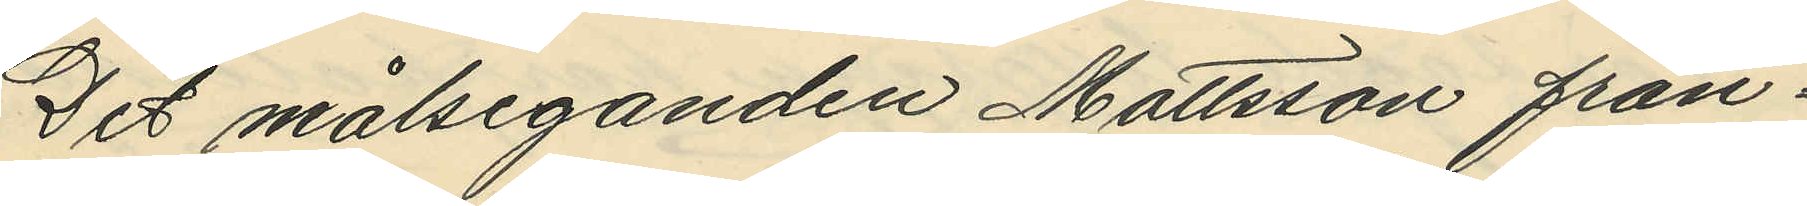Det målseganden Mattsson från¬
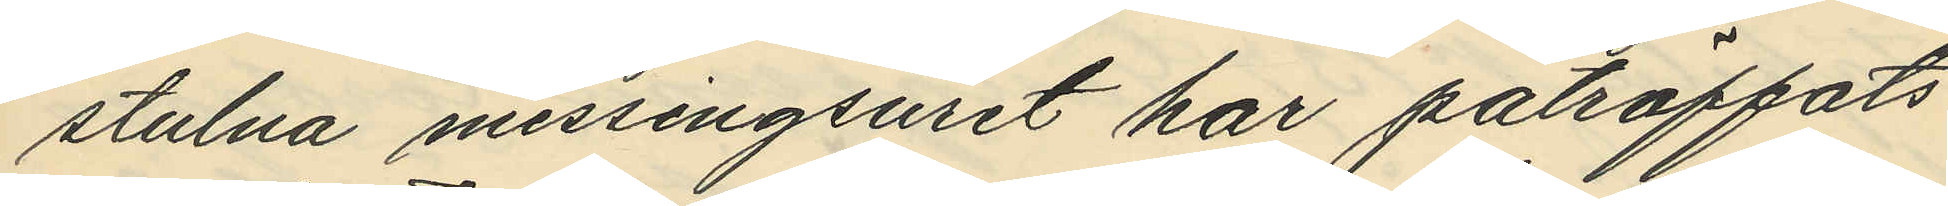stulna messingsuret har påträffats
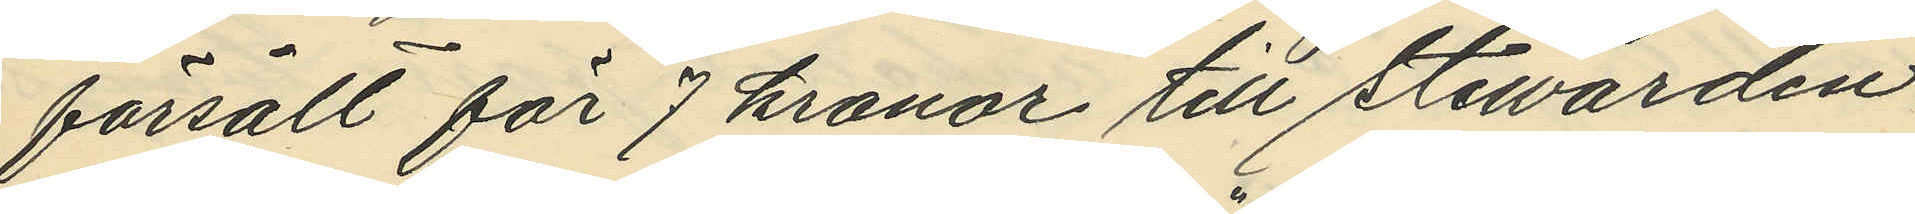försålt för 7 kronor till Stewarden
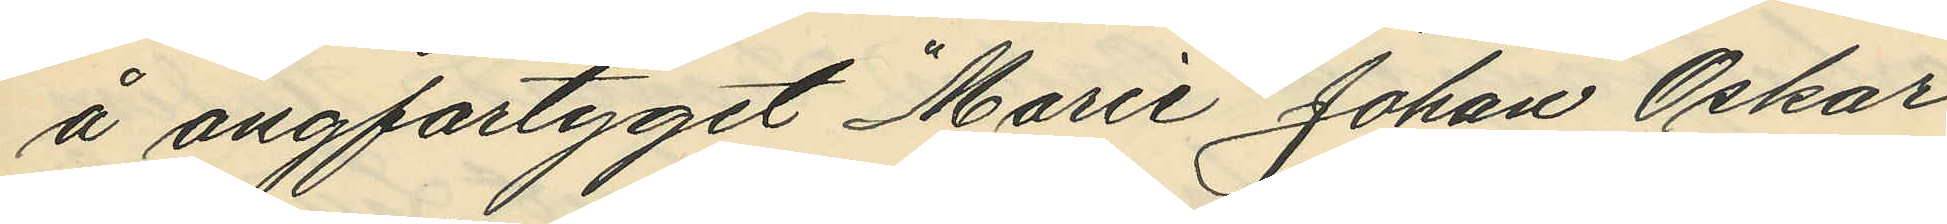å ångfartyget "Marie" Johan Oskar
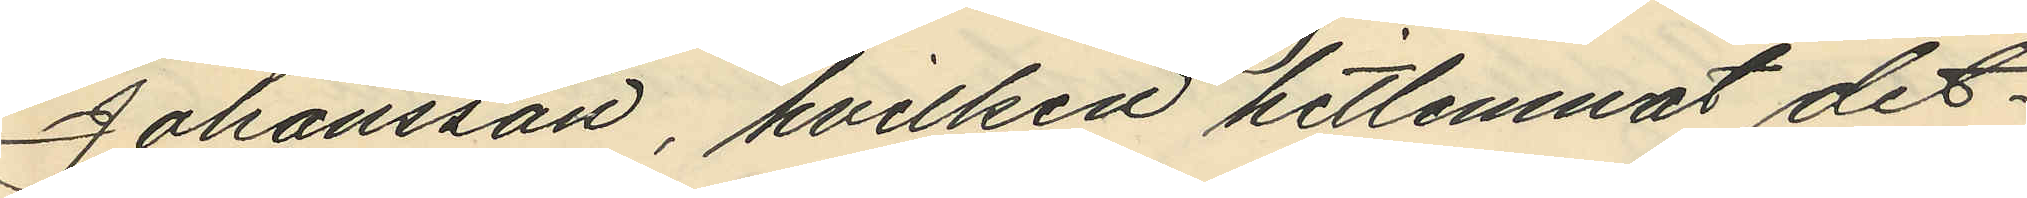Johansson, hvilken hitlemnat det¬
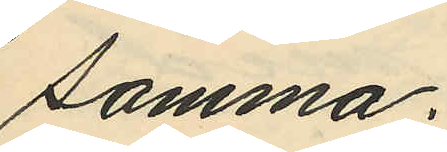samma.
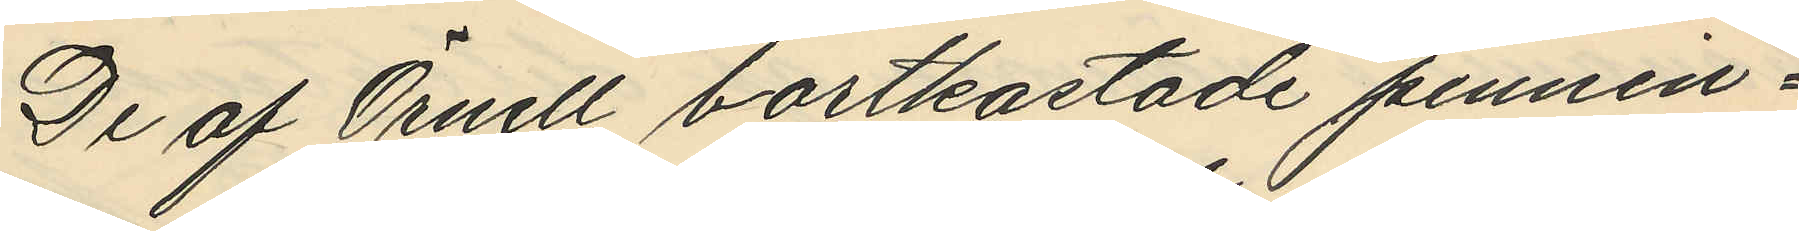De af Örnell bortkastade pennin¬
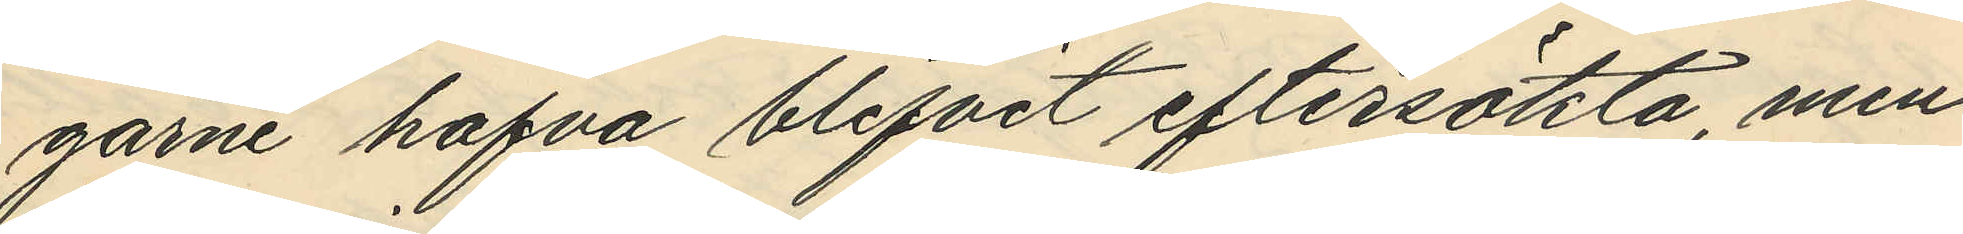garne hafva blifvit eftersökta, men
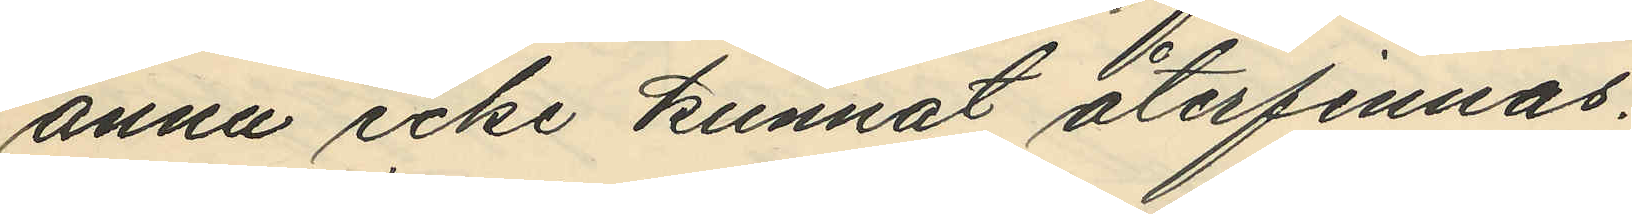ännu icke kunnat återfinnas.
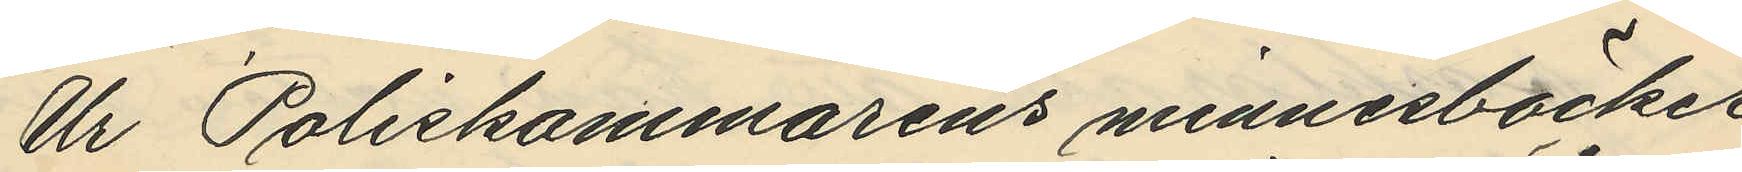Ur Poliskammarens minnesböcker
